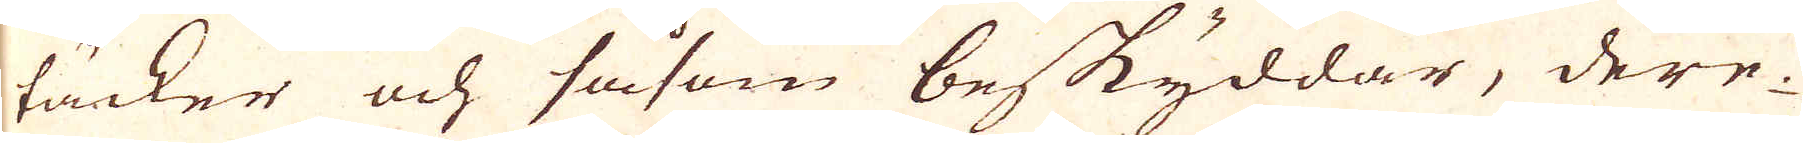täcker och såsom beskyddar, dere-
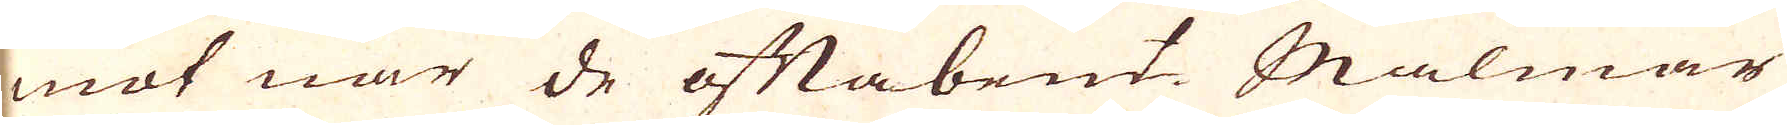mot när de oftabemt. malmar
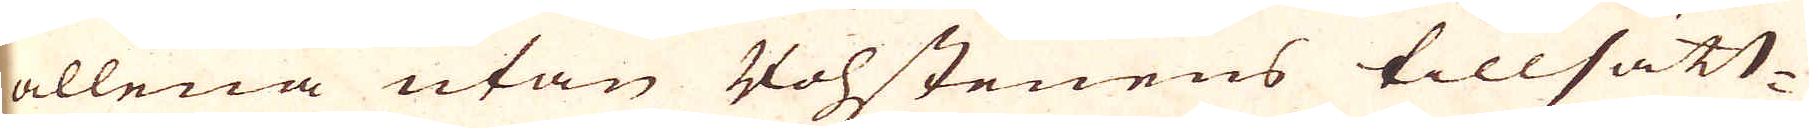allena utan Vohstenens tillsätt-
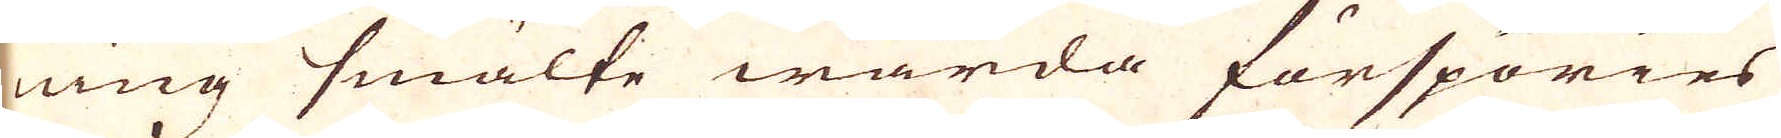ning smälte warda förspöries
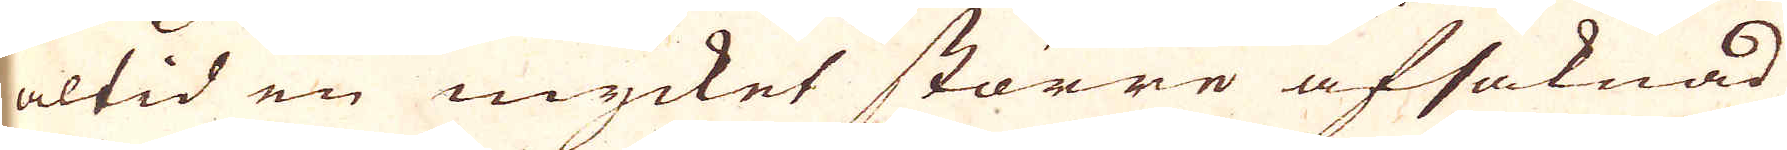altid en mycket större afsaknad
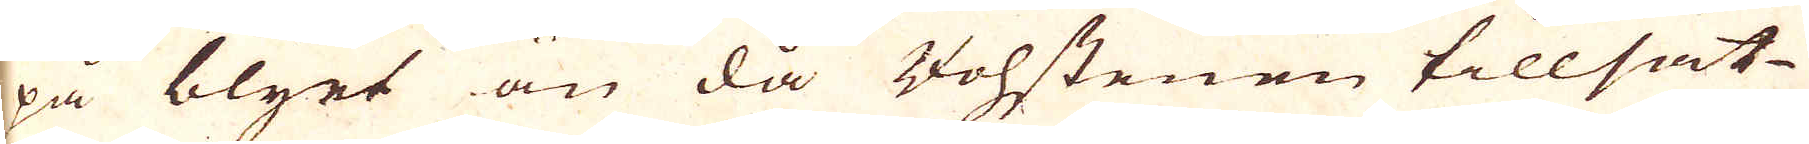på blyet än då Vohstenen tillsät-
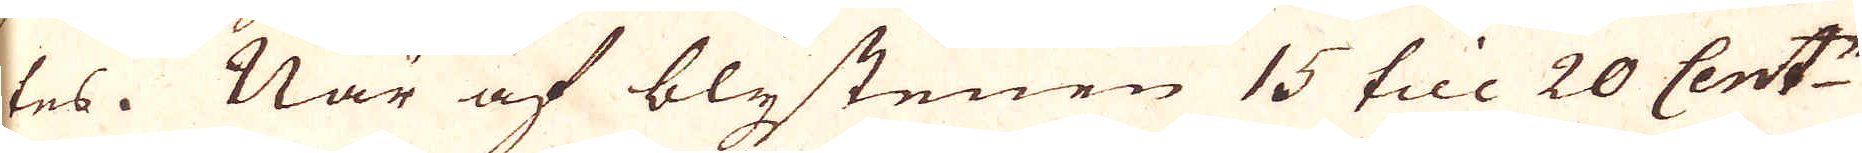tes. När af blystenen 15 till 20 Cent:r
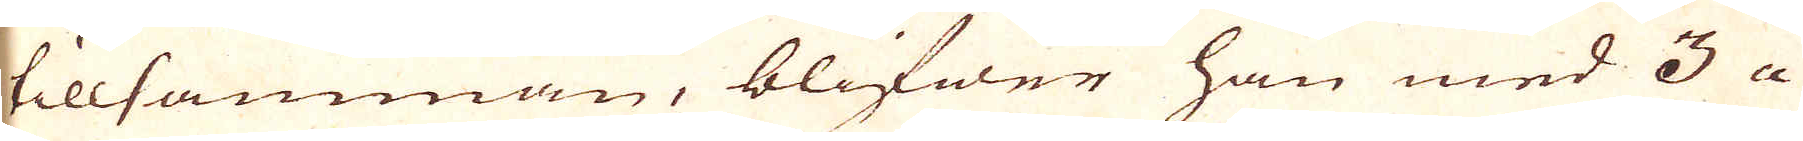tillsamman, blifwer han med 3 a
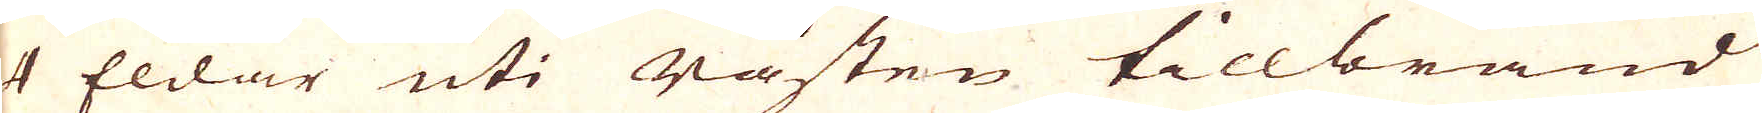4 Eldar uti råsten tillbränd
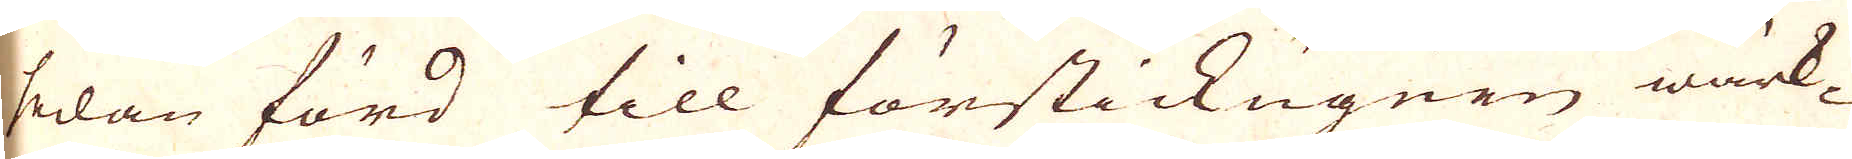sedan förd till förstickugnen wärk-
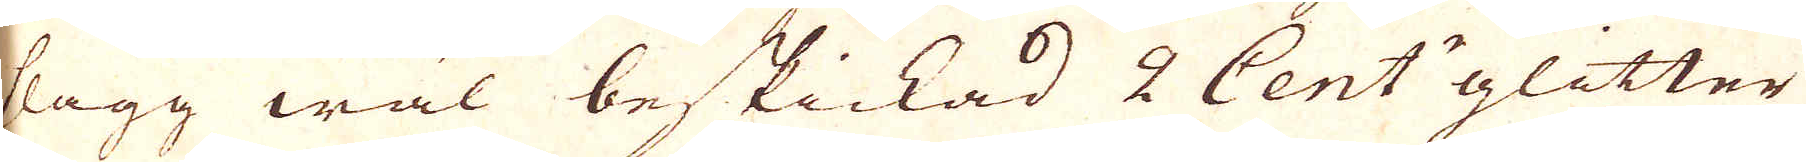slagg wäl beskickad 2 Cent:r glitter
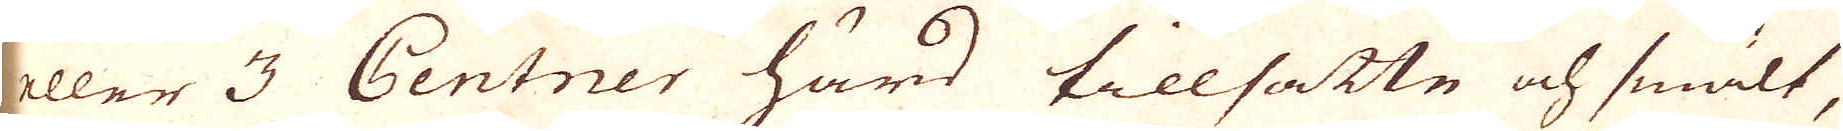eller 3 Centner hård tillsatte och smält,
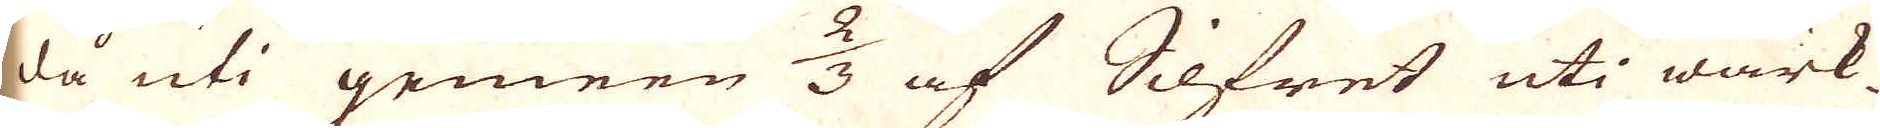då uti gemeen 2/3 af Silfret uti wärk-
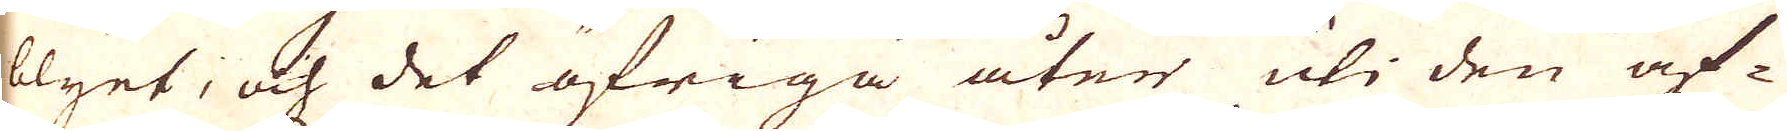blyet, och det öfriga åter uti den af-
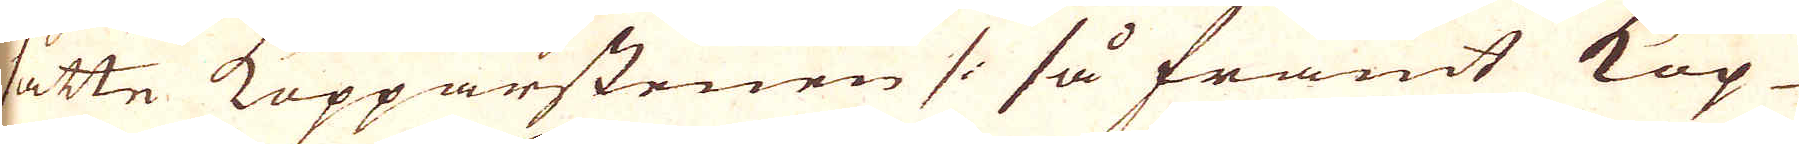satte Kopparstenen /: så framt Kop-
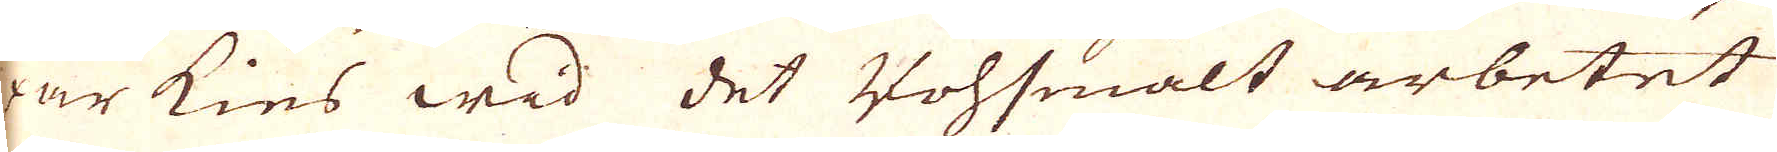par kies wid det Vohsmält arbetet
